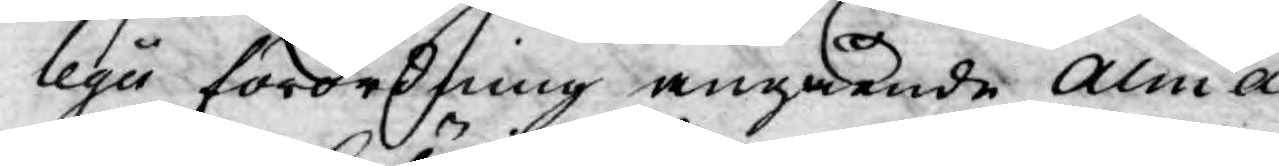legii förordning angående Alma¬
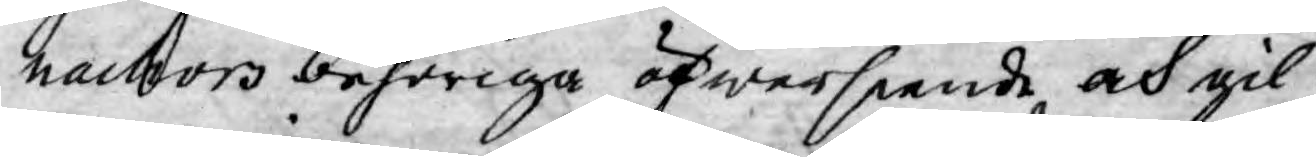nachors behöriga öfwerseende och gil¬
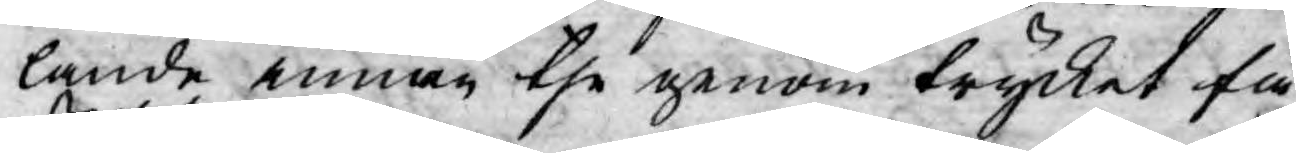lande innan the genom trycket få
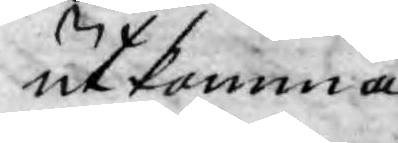utkomma.
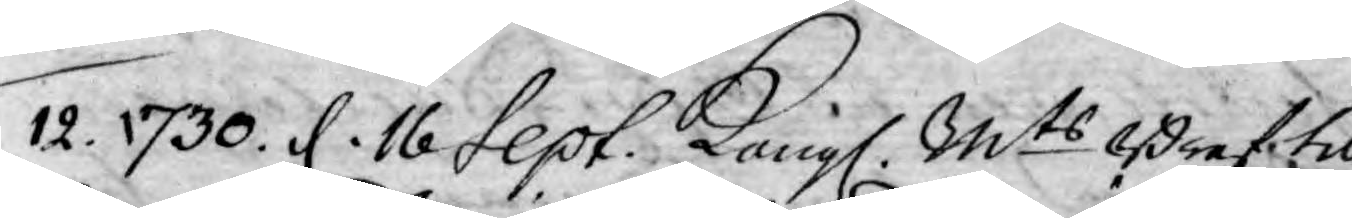12. 1730. d. 16 Sept. Kongl. Mts Bref til
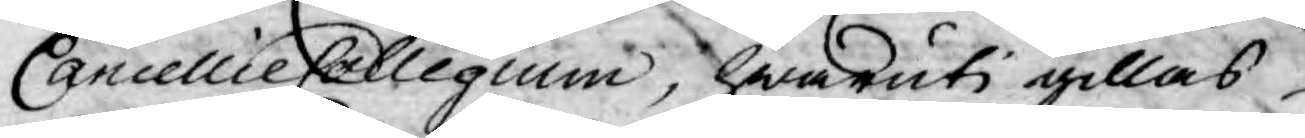Cancellie Collegium, hwaruti gillas
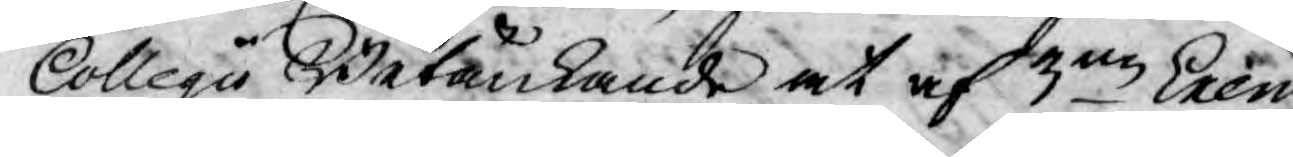Collegii Betänkande at af 3ne Exem¬
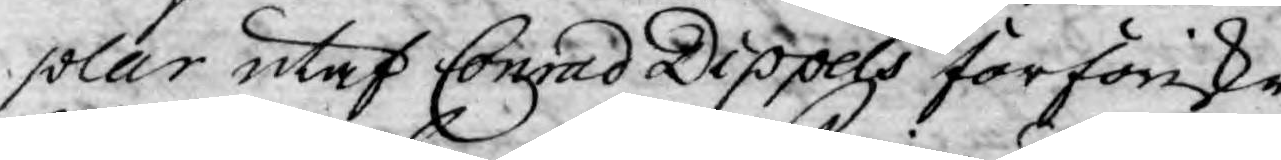plar utaf Conrad Dippels förföriska
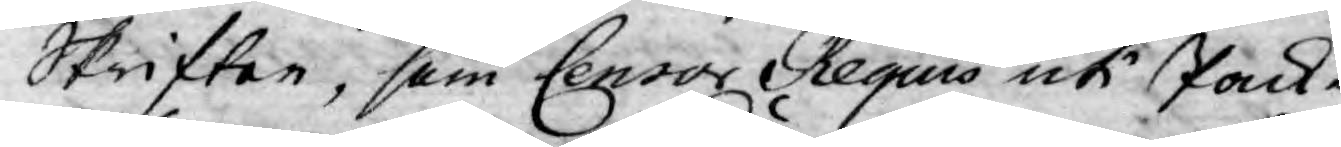Skrifter, som Censor Regius uti pack¬
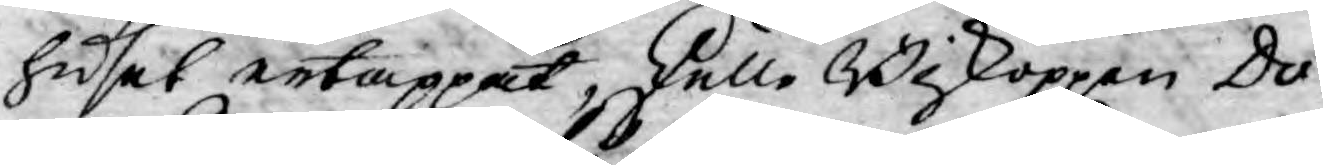huset ertappat, skulle Biskoppen Do¬
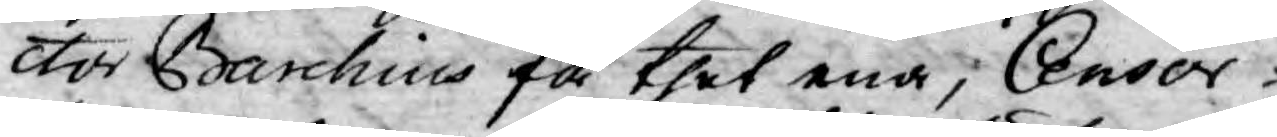ctor Barchius få thet ena, Censor
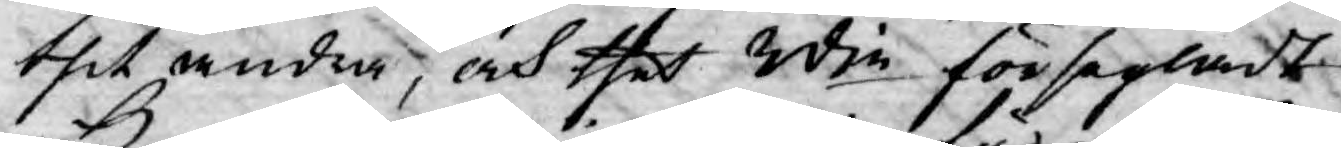thet andra, och thet 3die försegladt
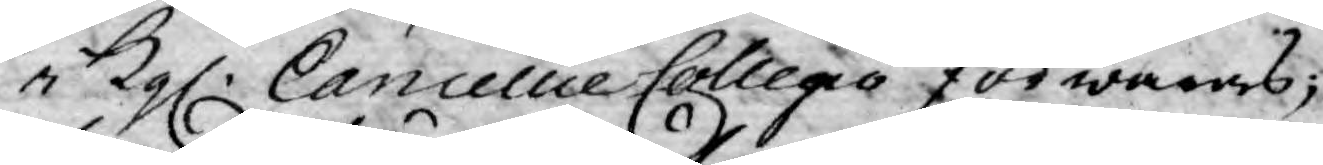i Kgl. Cancellie Collegio förwaras;
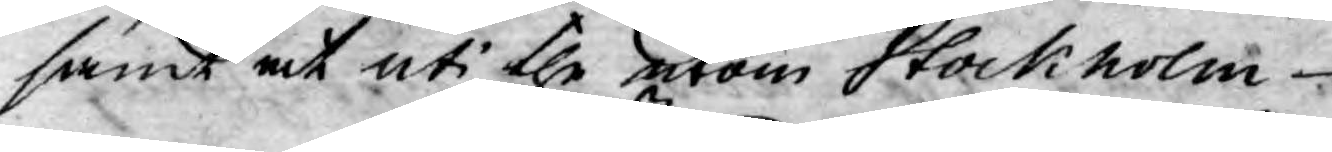samt at uti the utom Stockholm
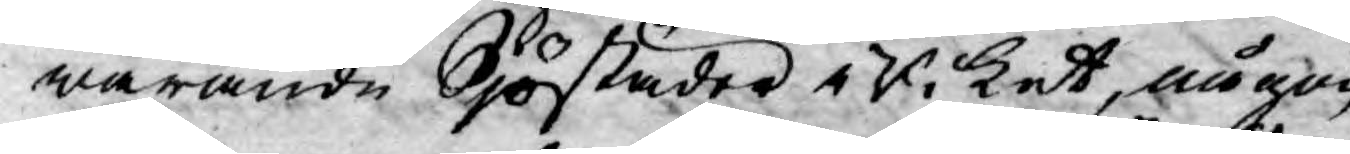warande Sjöstäder i Riket, någon
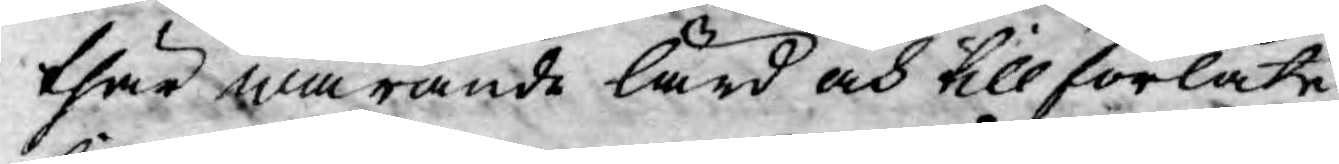thär warande lärd och tillförlåte¬
